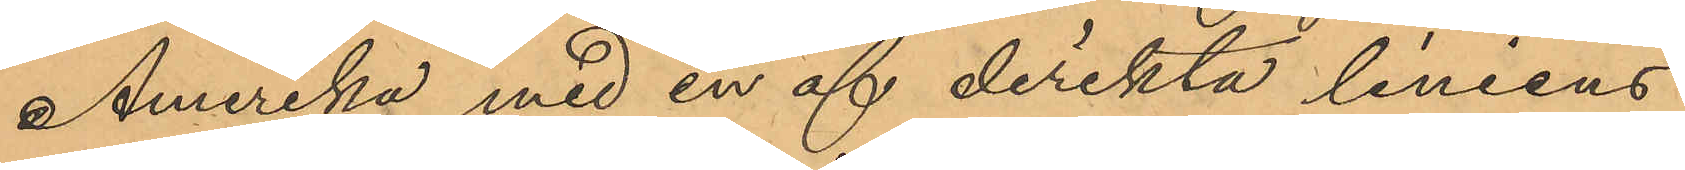Amerika med en af direkta liniens
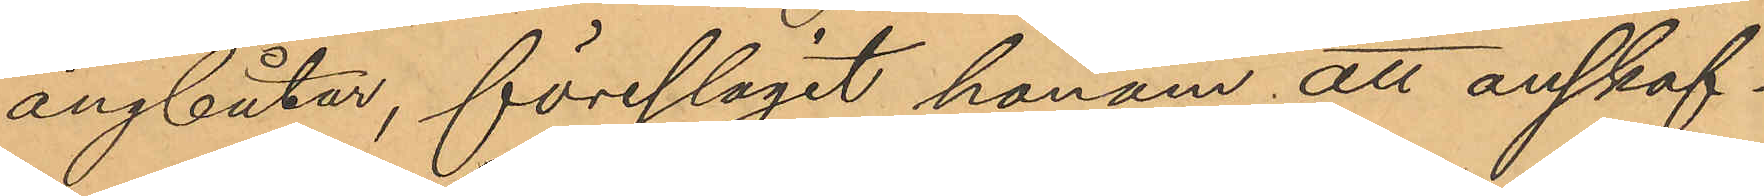ångbåtar, föreslagit honom att anskaf¬
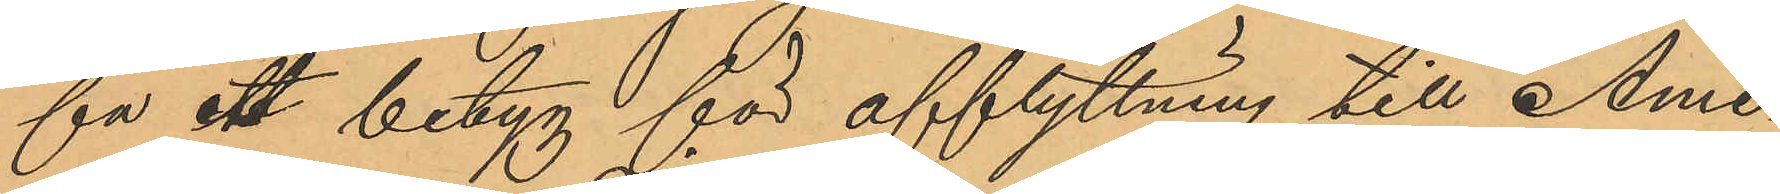fa ett betyg för afflyttning till Ame¬
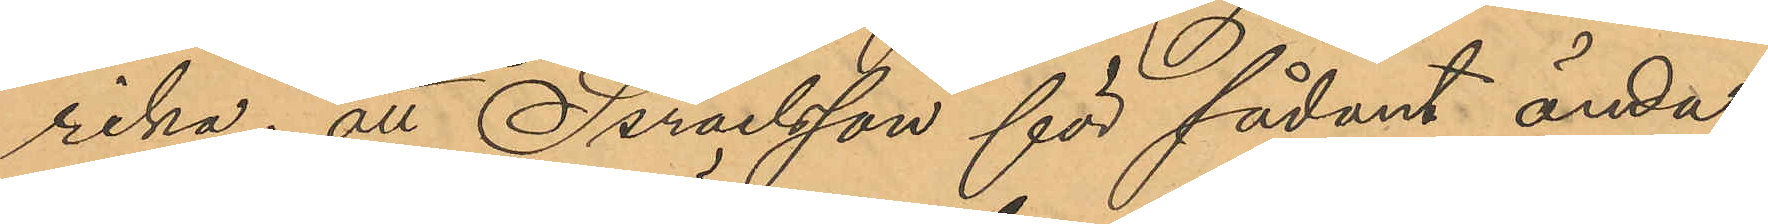rika; att Israelsson för sådant ända¬
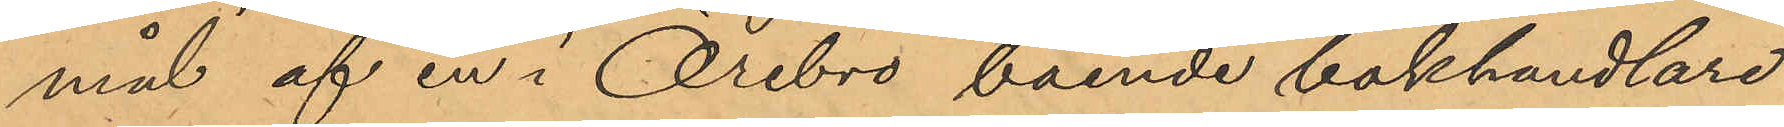mål af en i Örebro boende bokhandlare
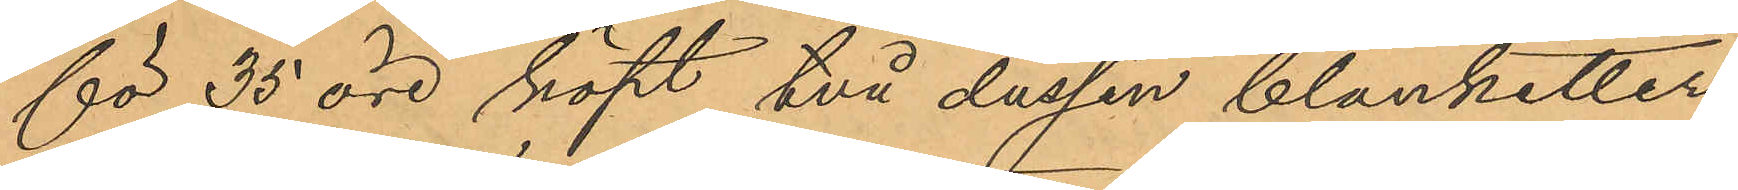för 35 öre köpt två dussin blanketter
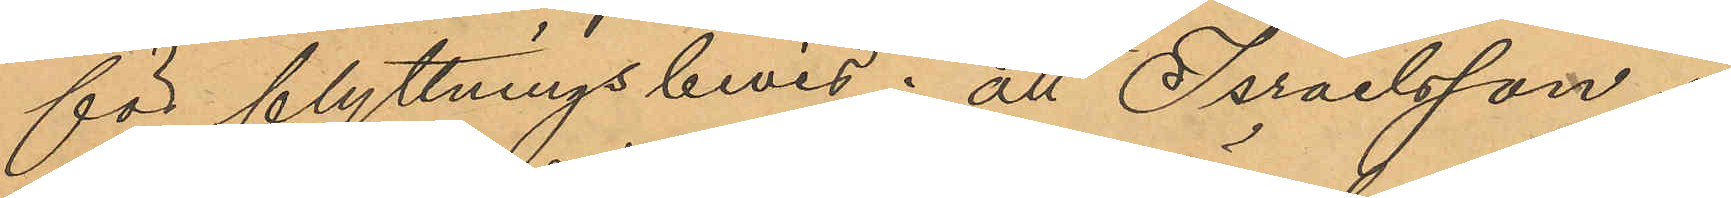för flyttningsbevis; att Israelsson i
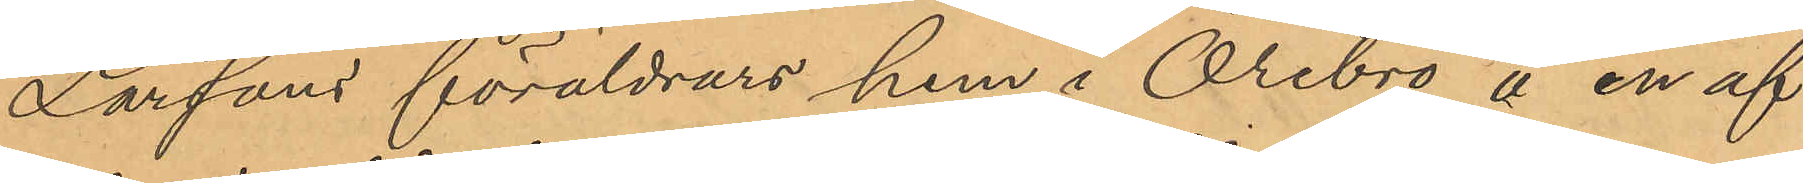Larsons föräldrars hem i Örebro å en af
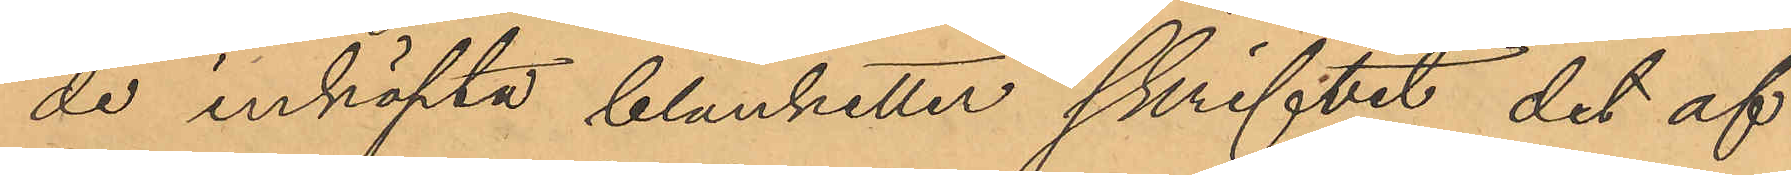de inköpta blanketter skrifvet det af
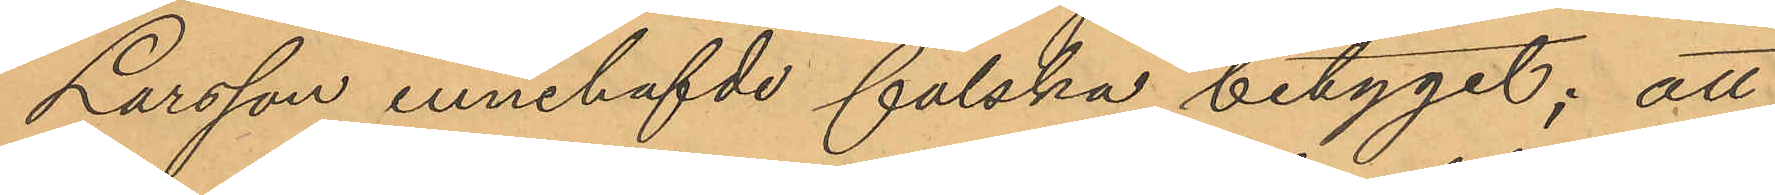Larsson innehafvde falska betyget; att
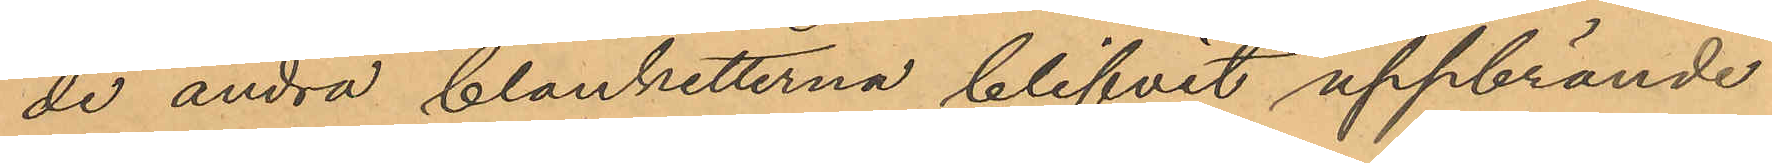de andra blanketterna blifvit uppbrände
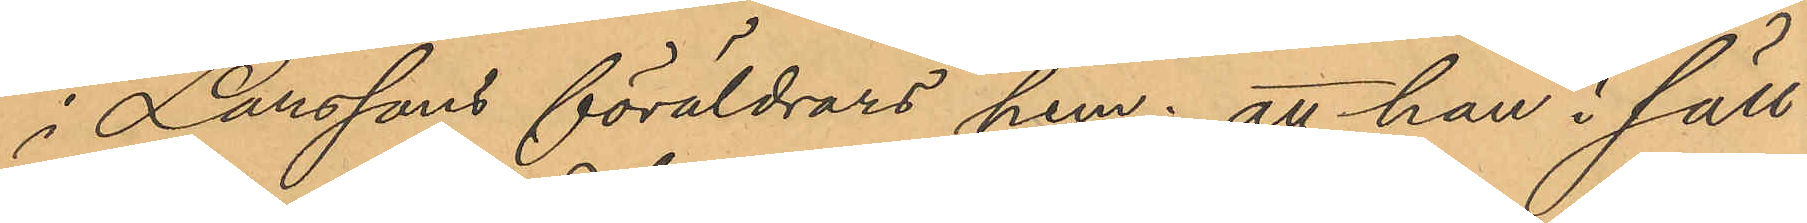i Larssons föräldrars hem; att han i säll¬
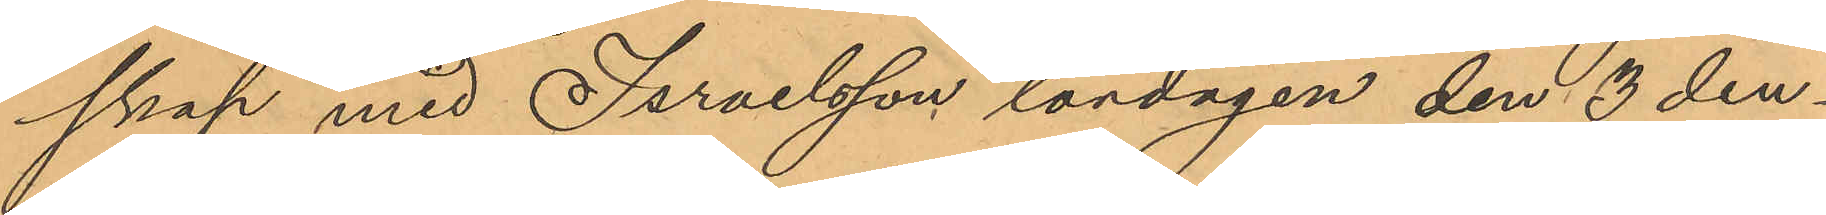skap med Israelsson lördagen den 3 den¬
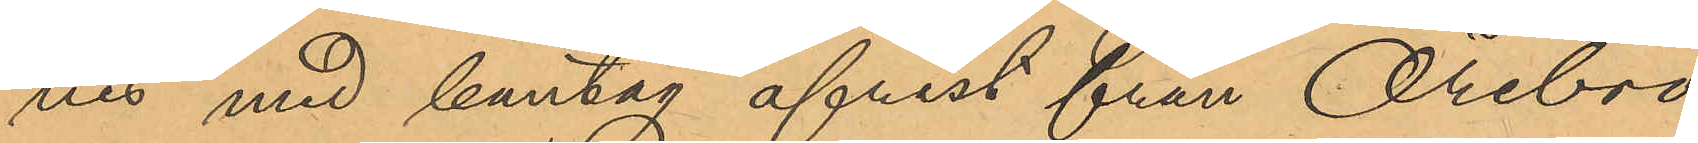nes med bantåg afrest från Örebro
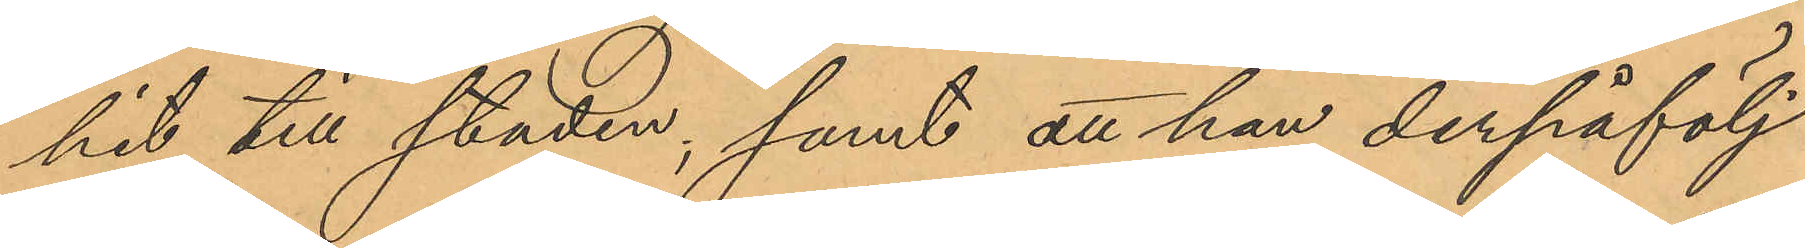hit till staden; samt att han derpåfölj¬
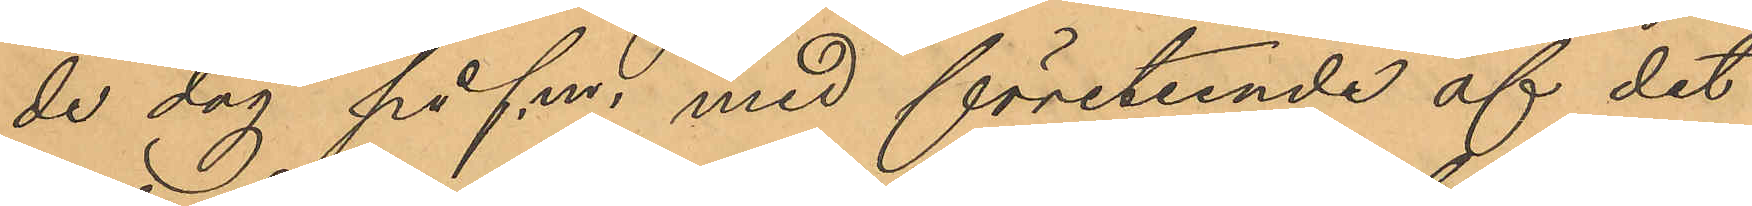de dag på fm. med företeende af det
